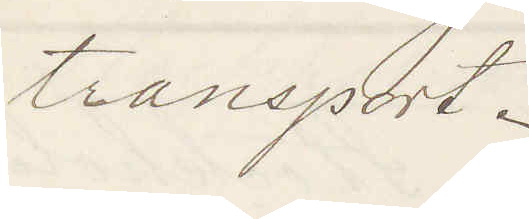transport
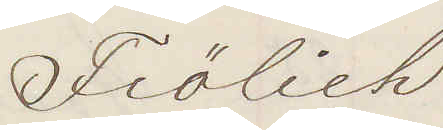Frölich
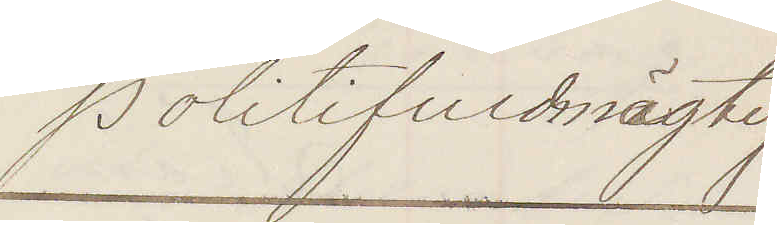Politifuldmägtig
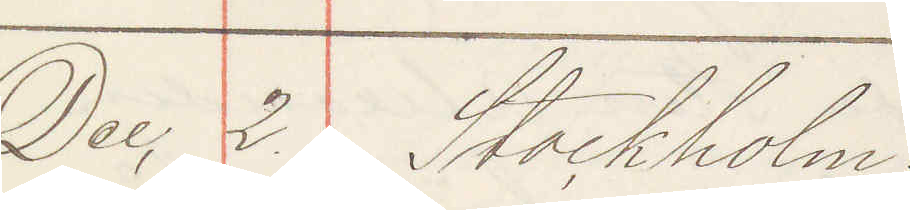Dec 2. Stockholm
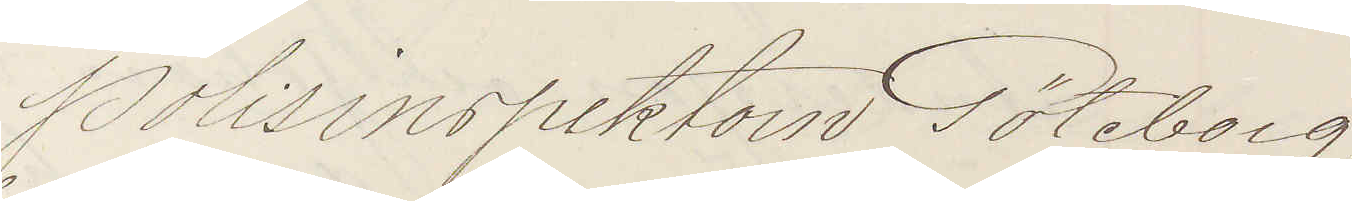Polisinspektorn Göteborg.
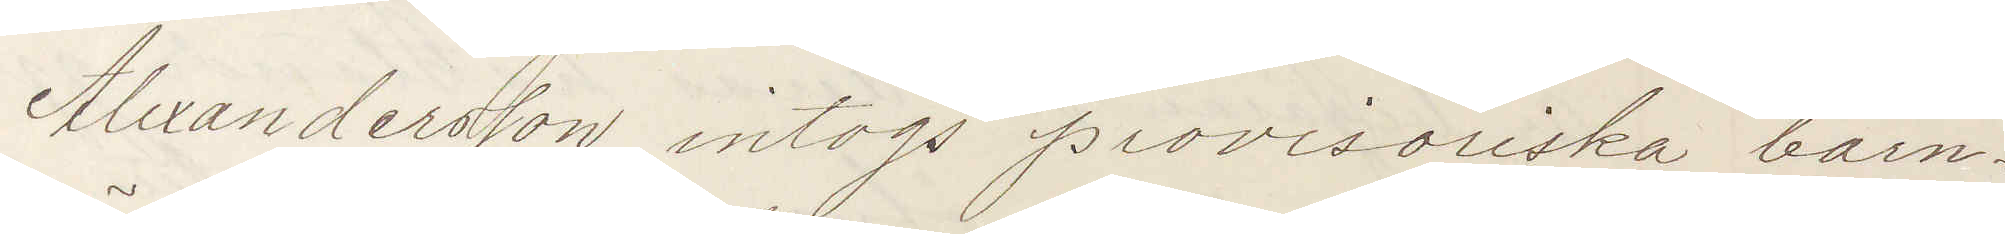Alexandersson intogs provisoriska barn¬
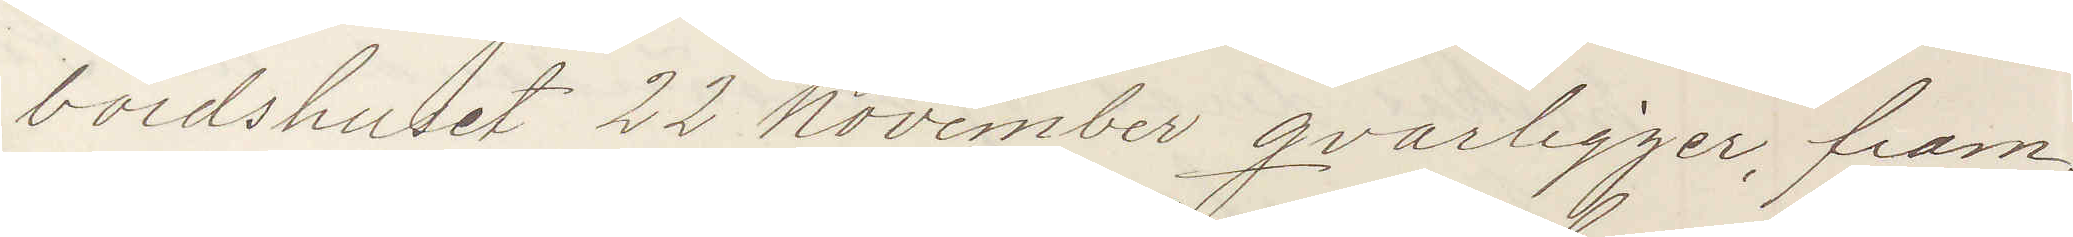bördshuset 22 November qvarligger, fram¬
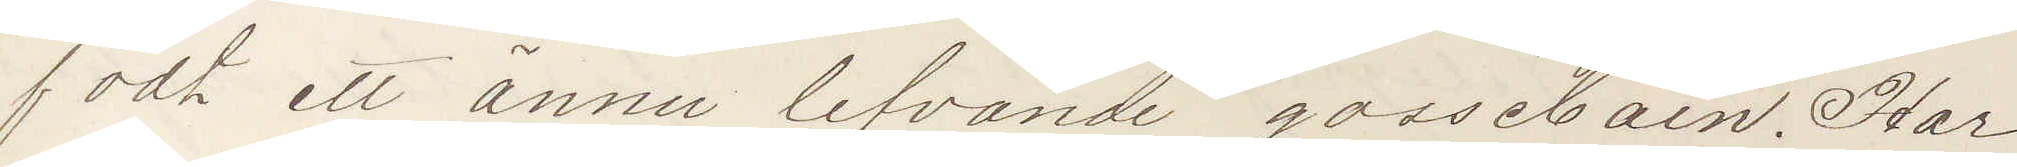födt ett ännu lefvande gossebarn. Har
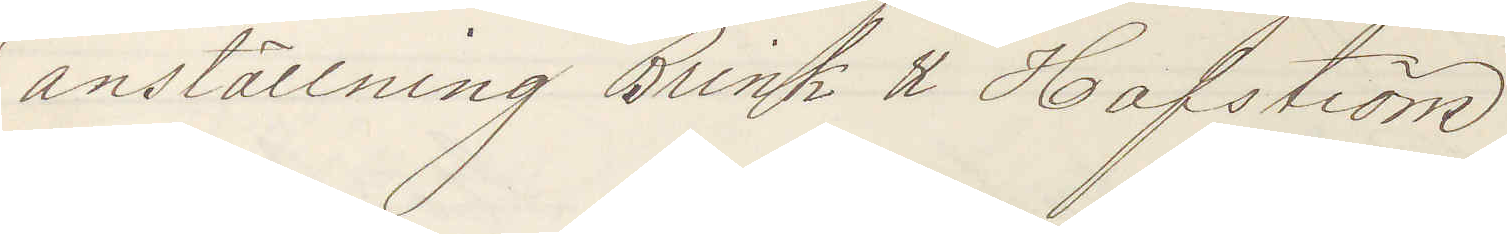anställning Brink & Hafström
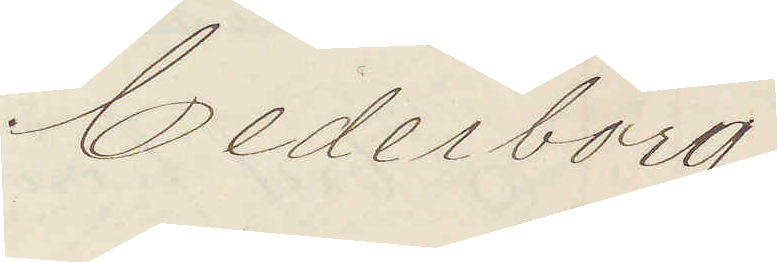Cederborg
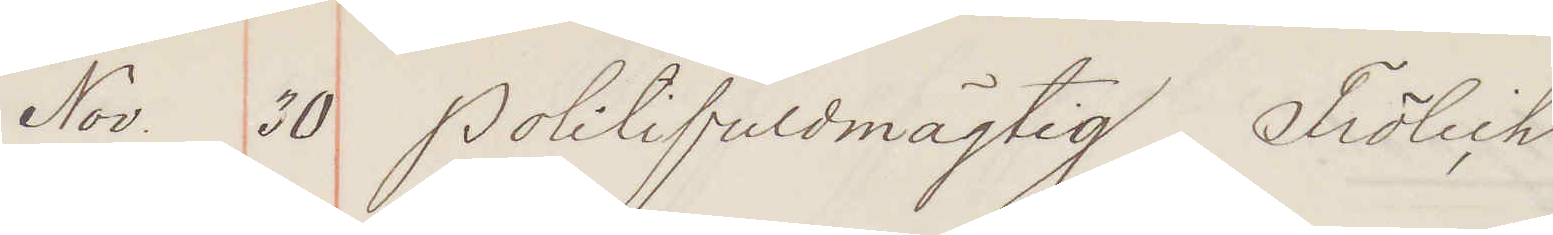Nov. 30 Politifuldmägtig Frölich
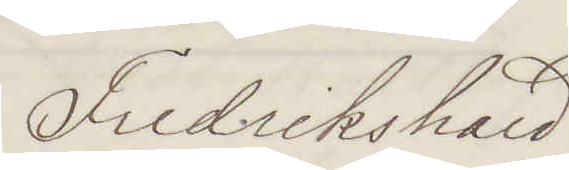Fredrikshald
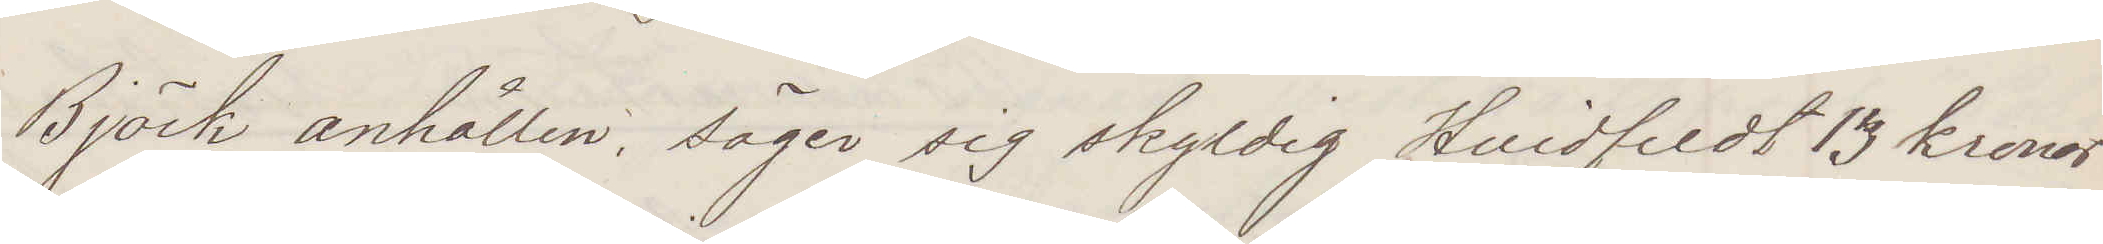Björk anhållen, säger sig skyldig Hvidfeldt 13 kronor
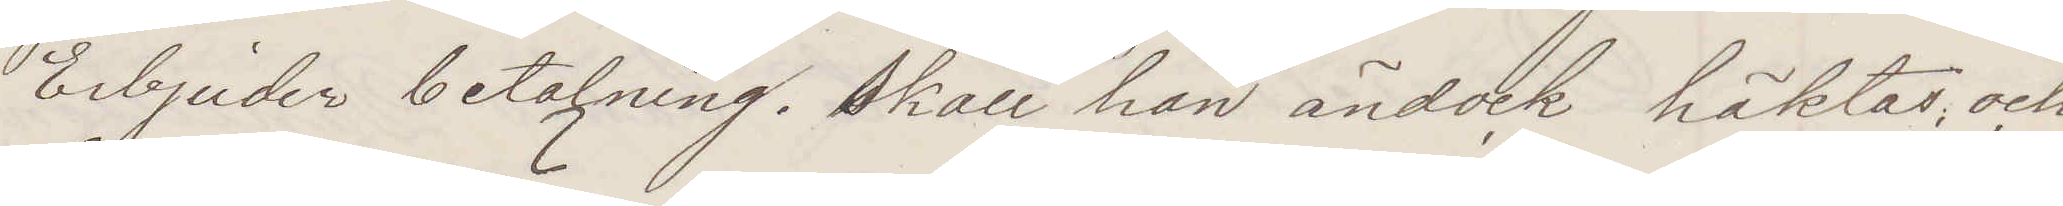Erbjuder betalning. Skall han ändock häktas och
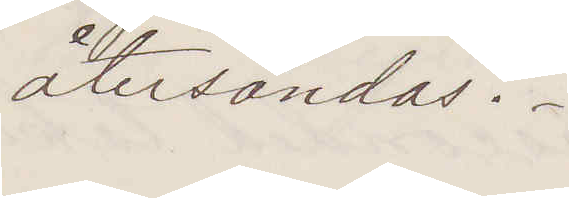återsändas?
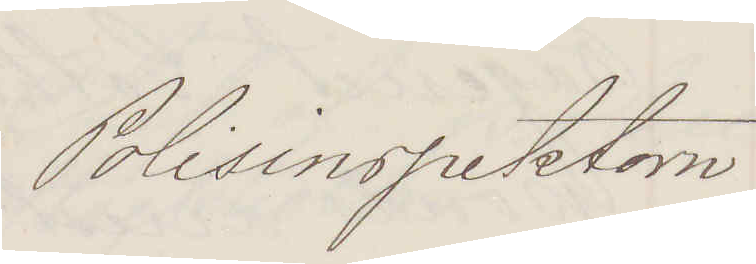Polisinspektorn
